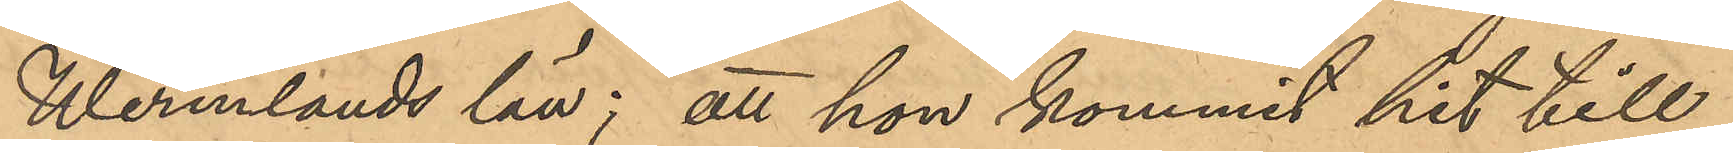Wermlands län; att hon kommit hit till
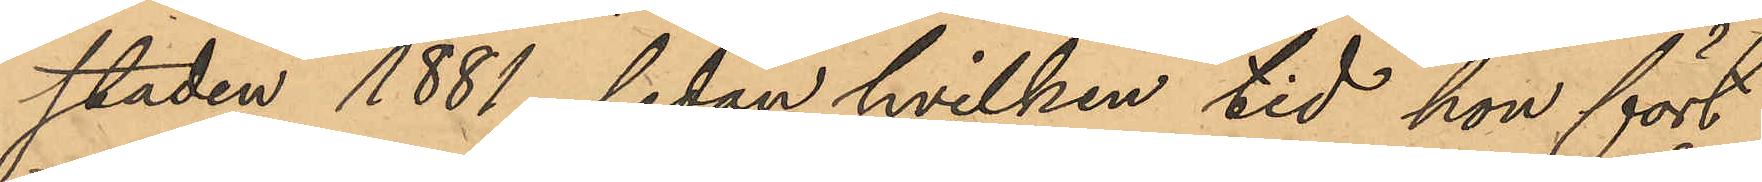staden 1881, sedan hvilken tid hon fört
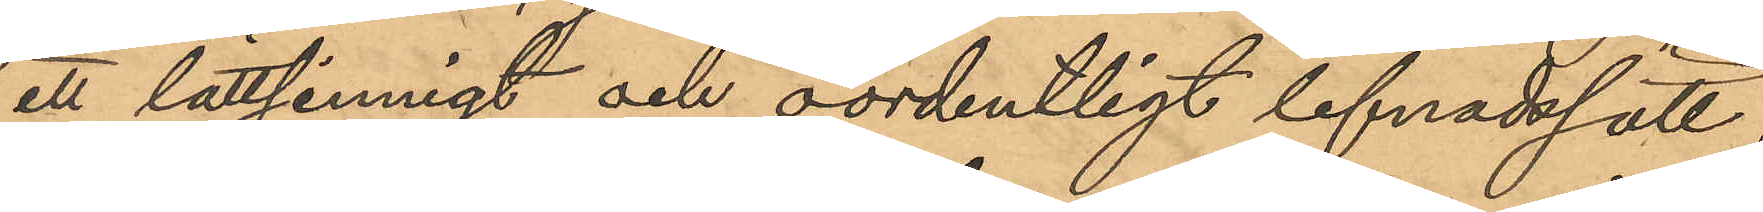ett lättsinnigt och oordentligt lefnadssätt;
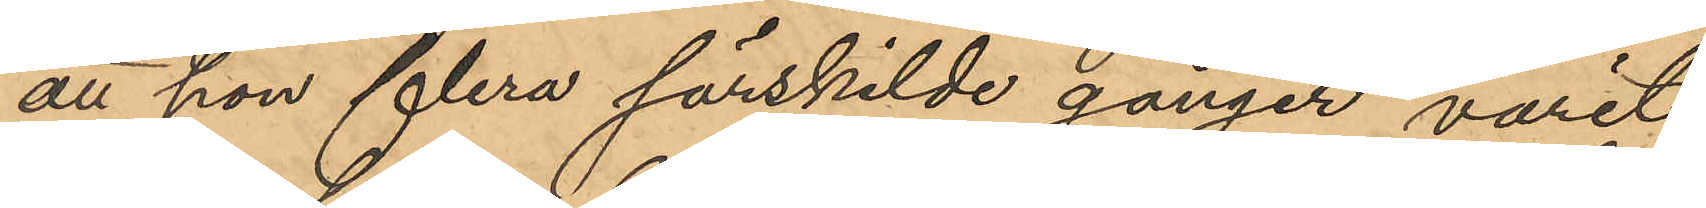att hon flera särskilde gånger varit
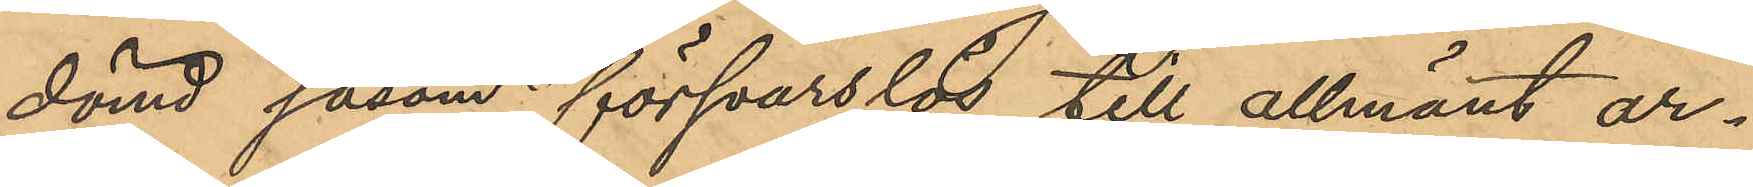dömd såsom försvarslös till allmänt ar¬
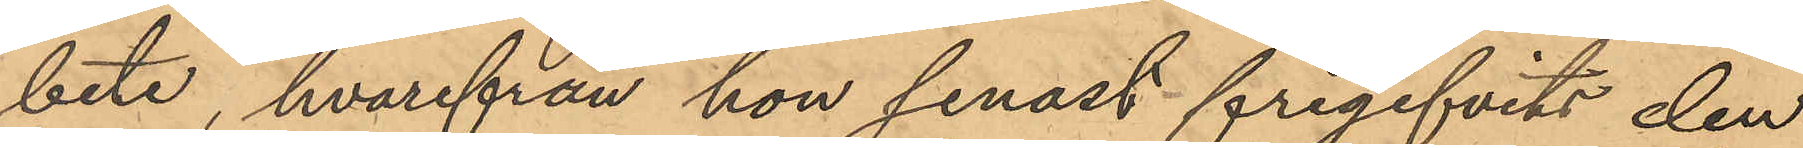bete, hvarifrån hon senast frigifvits den
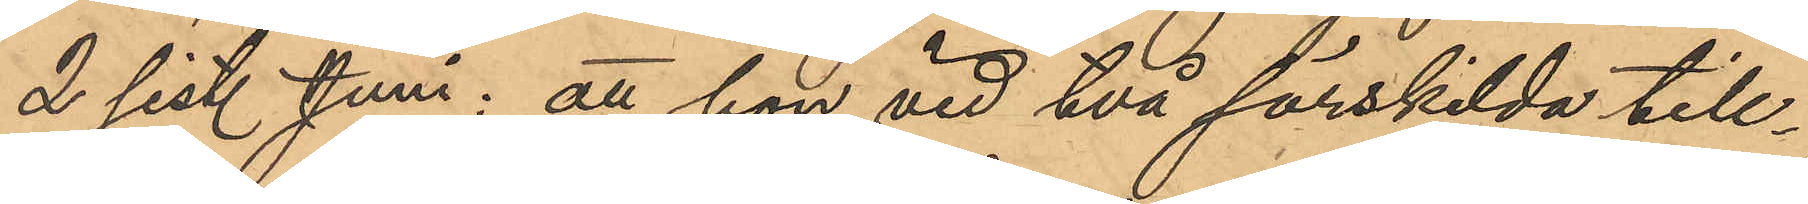2 sist. Juni; att hon vid två särskilda till¬
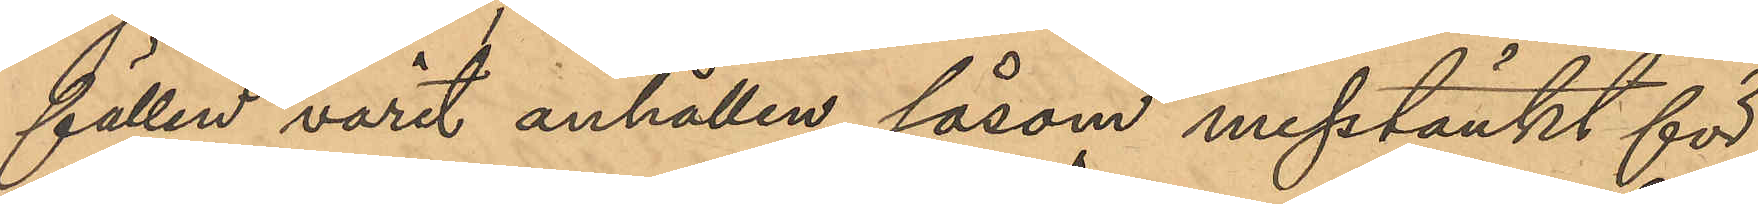fällen varit anhållen såsom misstänkt för
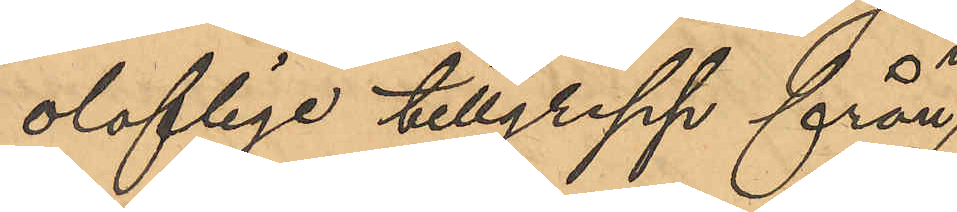oloflige tillgrepp från
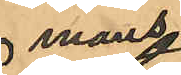mans¬
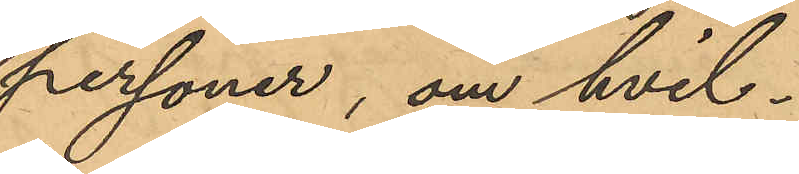personer, om hvil¬
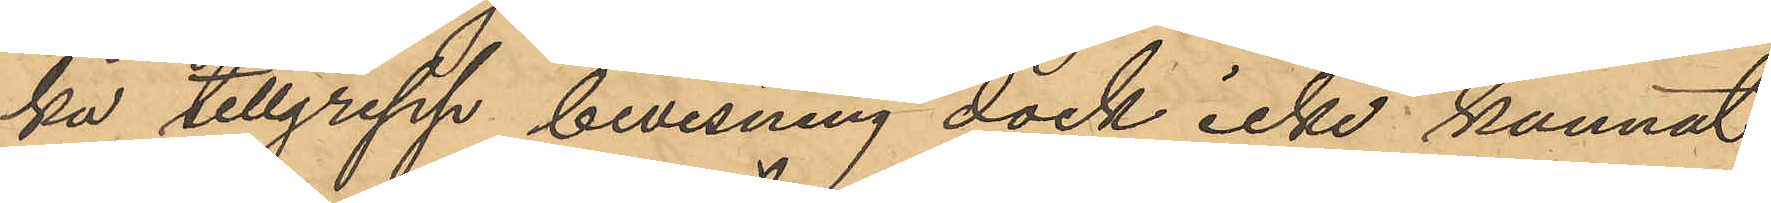ka tillgrepp bevisning dock icke kunnat
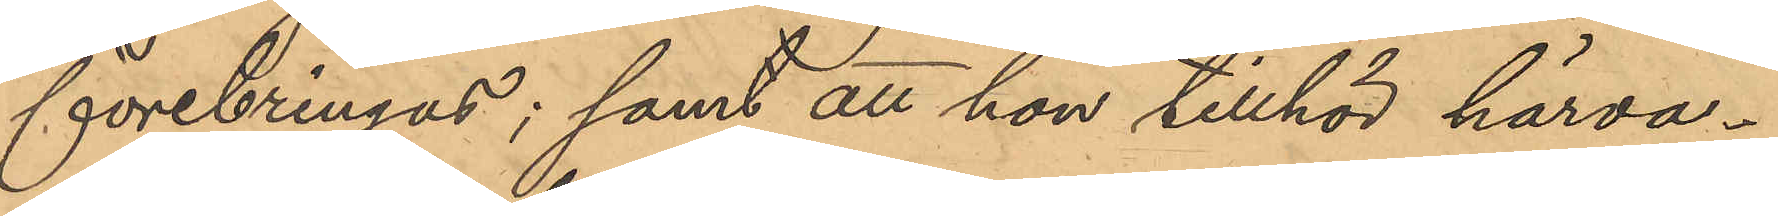förebringas; samt att hon tillhör härva¬
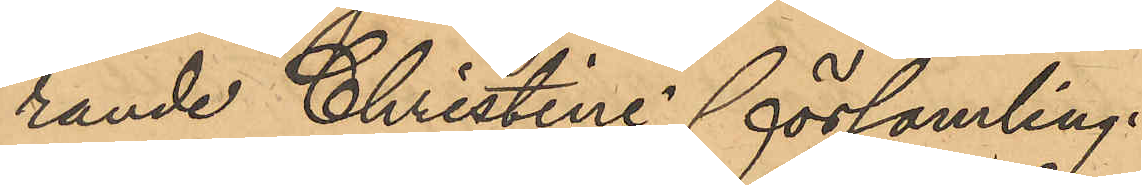rande Christine församling.
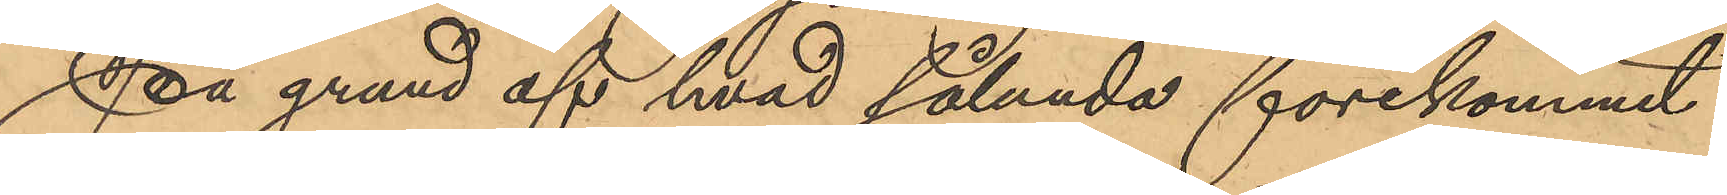På grund af hvad sålunda förekommit
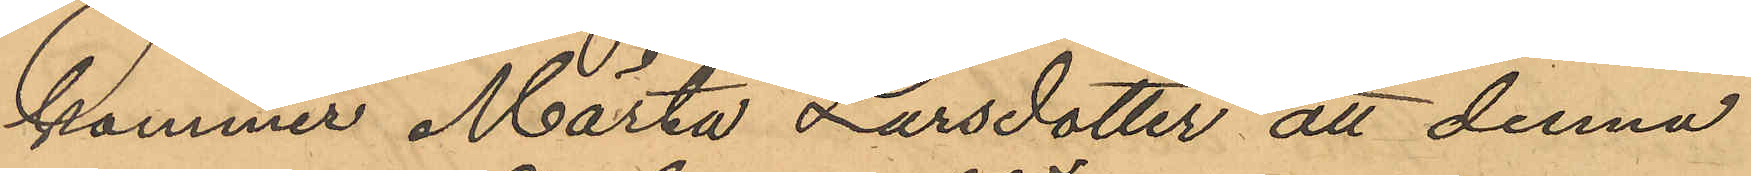kommer Märta Larsdotter att denna
